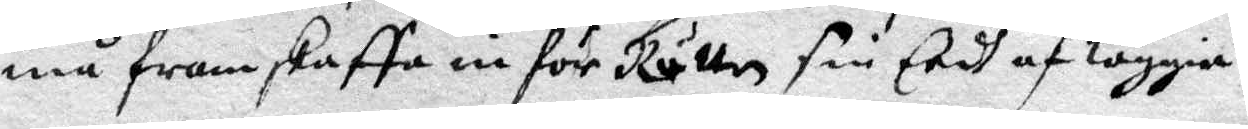må framskaffa en för Rätten sin Eedh af läggia.
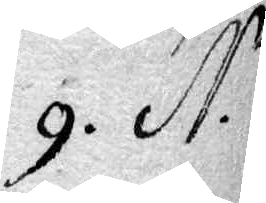9. N.o 
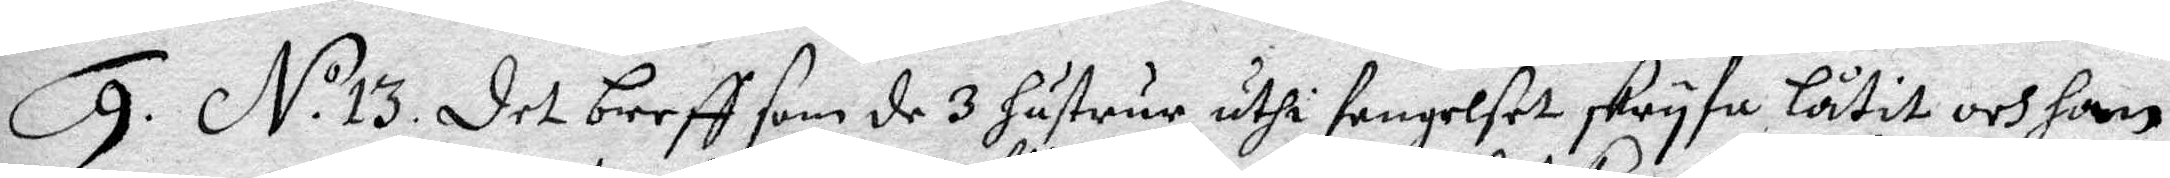9. N.o 13. Det breff som de 3 hustrur uthi fengelset skryfa låtit och hon
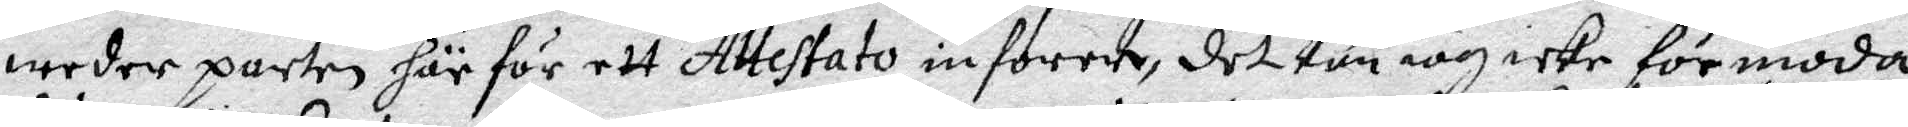wederparten härför ett Attestato inforer, det kan iag icke förmoda
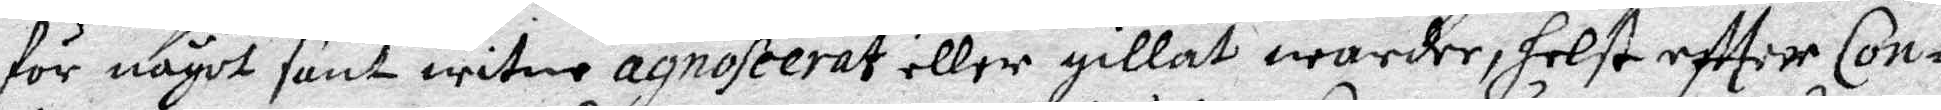för något sant witne agnoseerat eller gillat warder, helst effter Con¬
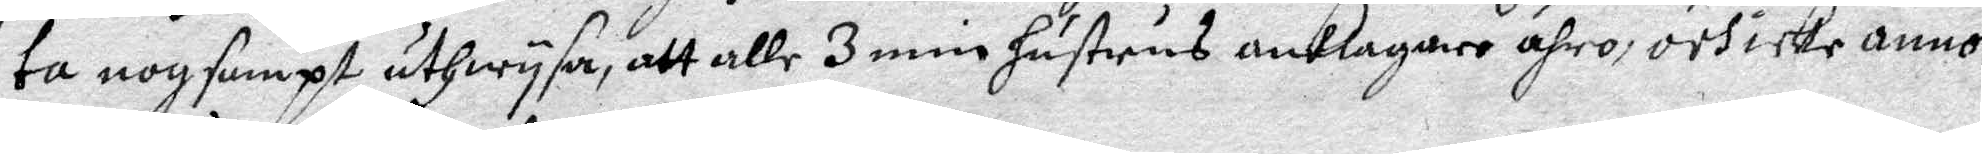ta nogsampt uthwysa, att alle 3 min hustrus anklagare ähro, och icke annor¬
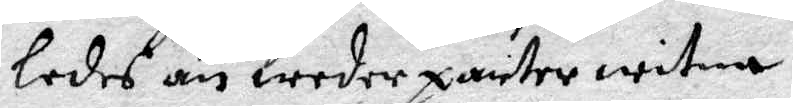ledes än wederparter witna.
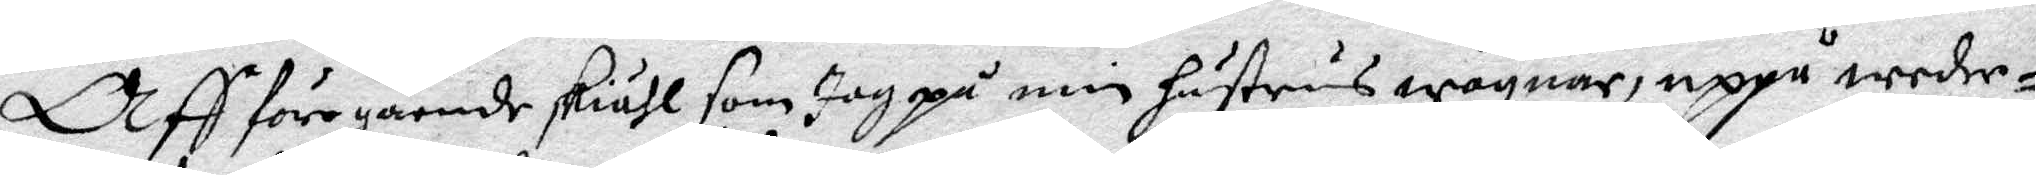Aff föregående skiähl som jag på min hustrus wägnar, uppå weder¬
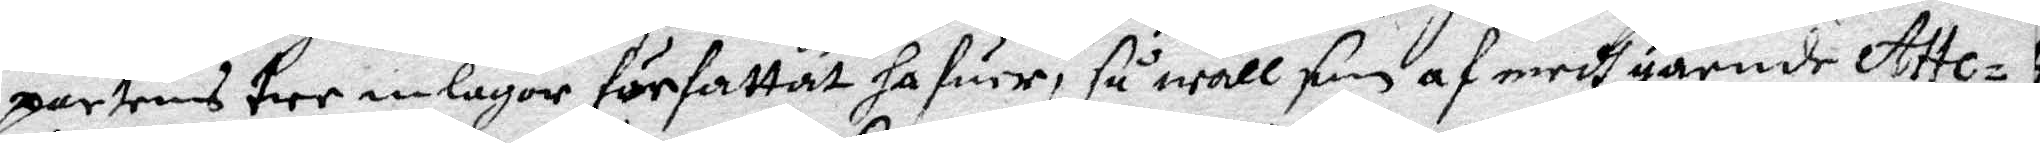partens tre inlagor författat hafuer, så wäll som af medh gaende Atte¬
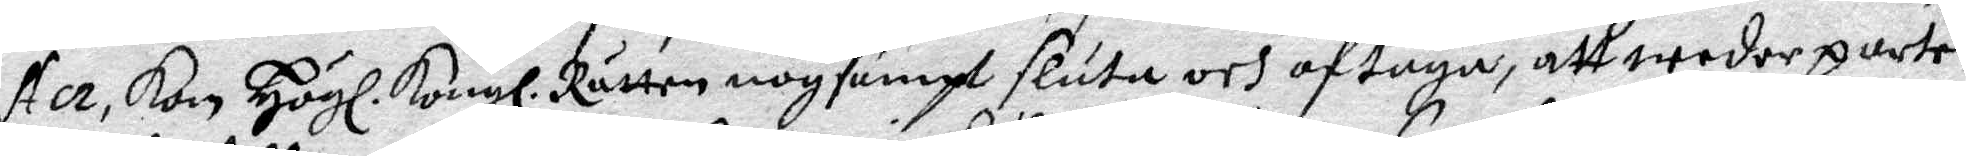ster, kan Högl. Kongl. Rätten nogsampt sluta och aftaga, att wederparten
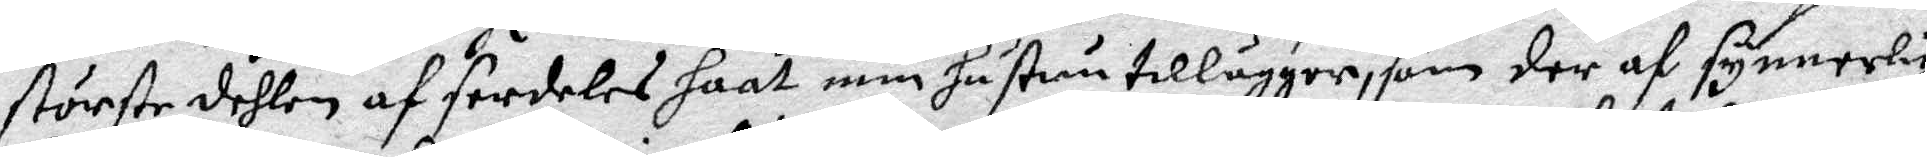störste dehlen af serdeles haat min hustru tillägger, som der af synnerlig
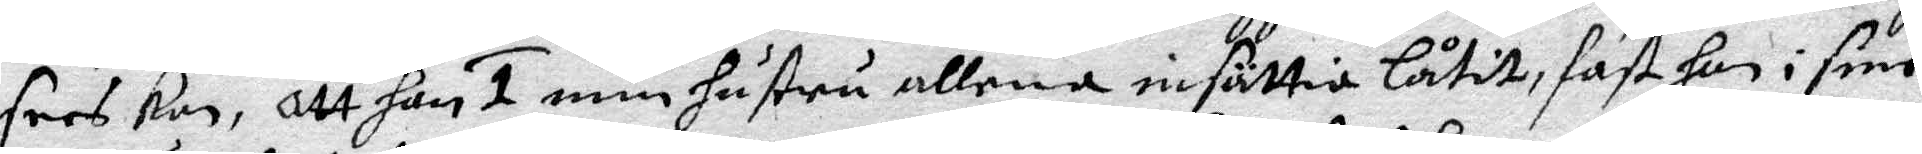sees kan, Att han 1 min hustru allena insättia låtit, fast han i sine
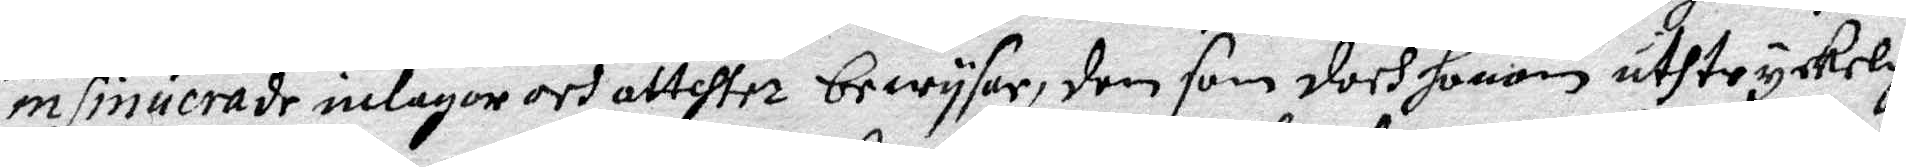insinuerade inlagor och attetser bewysar, den som doch honom uthtryckelig
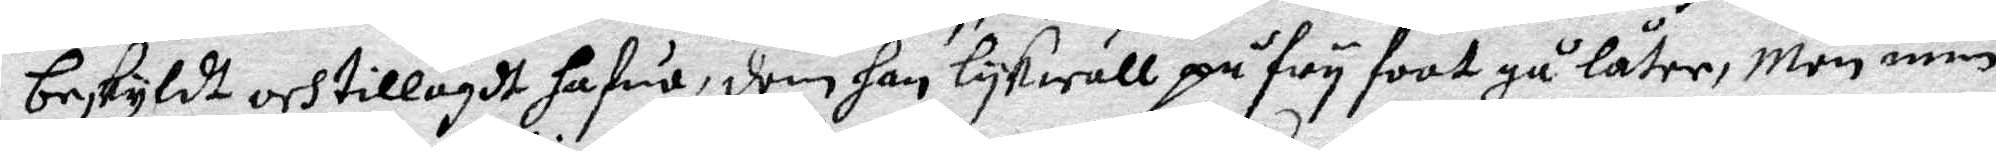beskyldt och tillagdt hafua, dom han lykwäll på fry foot gå låter, Men min
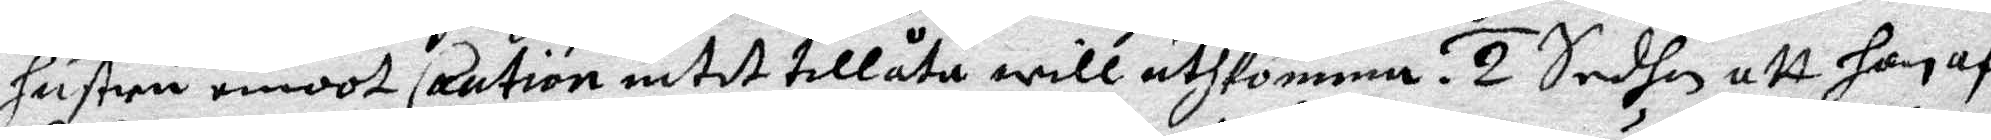hustru emoot Caution intet Caution intet tillåta will uthkomma. 2 Sedhan att hon af
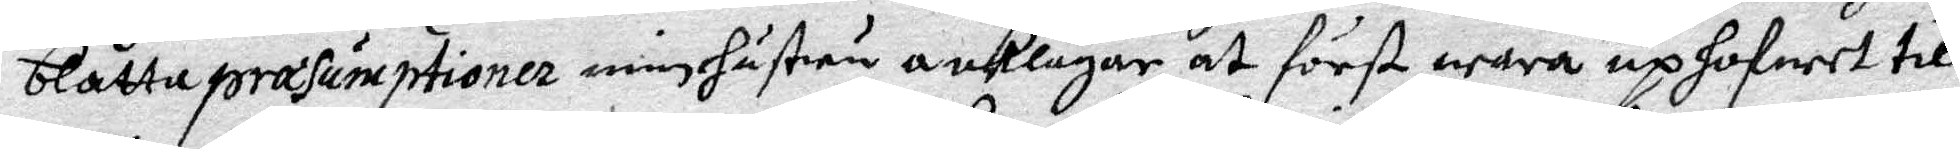blåtta præsumptioner min hustru anklagar at fört wara uphofwet till 
